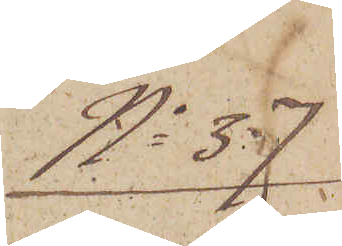No 37.
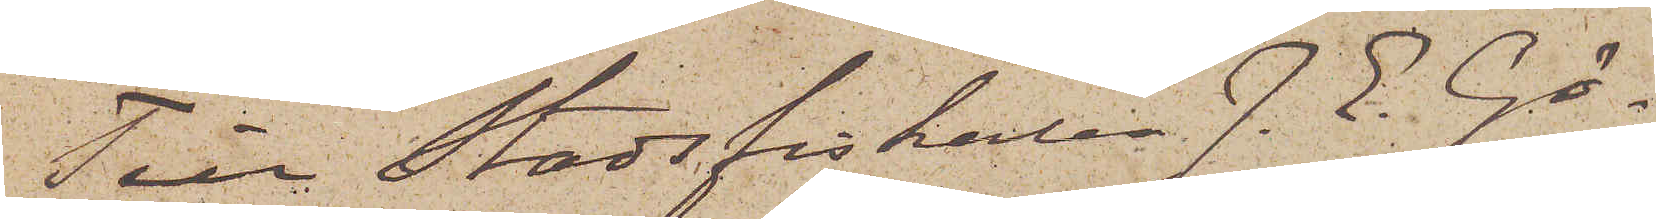Till Stadsfiskalen J. E. Gö¬
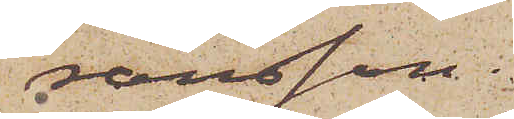ransson.
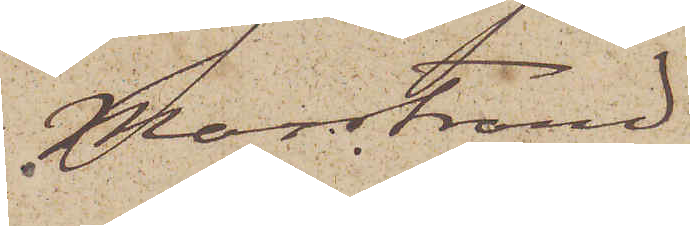Marstrand
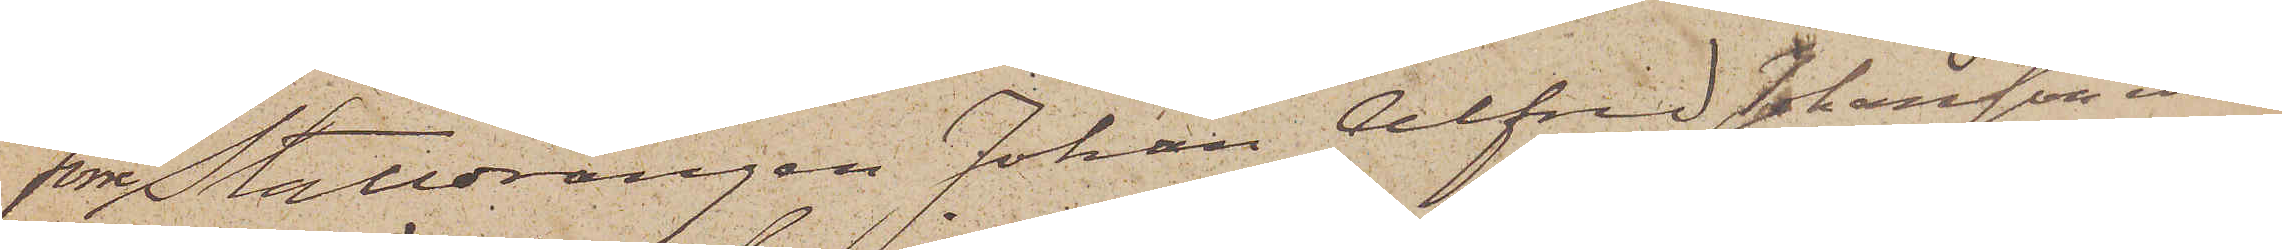Förre Stalldrängen Johan Alfred Johansson eller
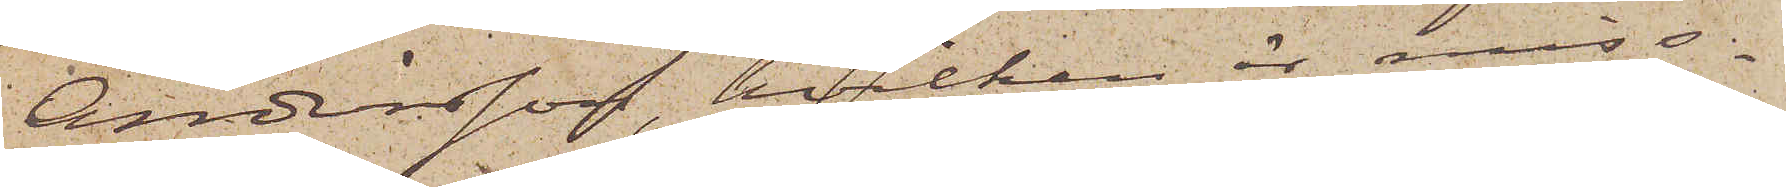Andersson, hvilken är miss¬
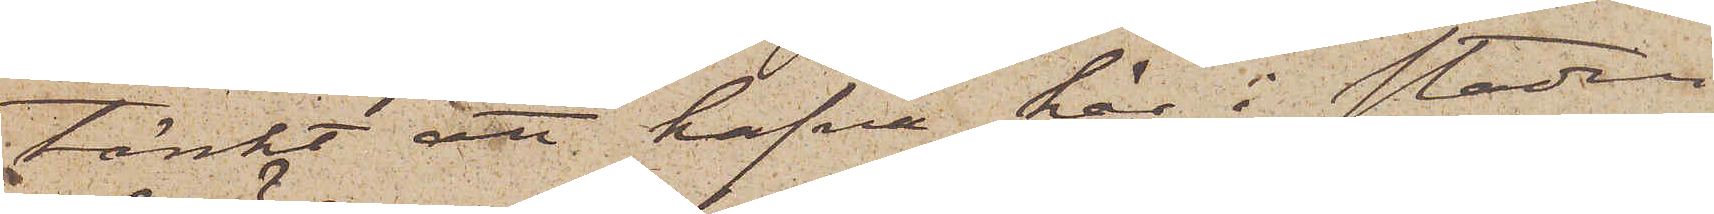tänkt att hafva här i staden
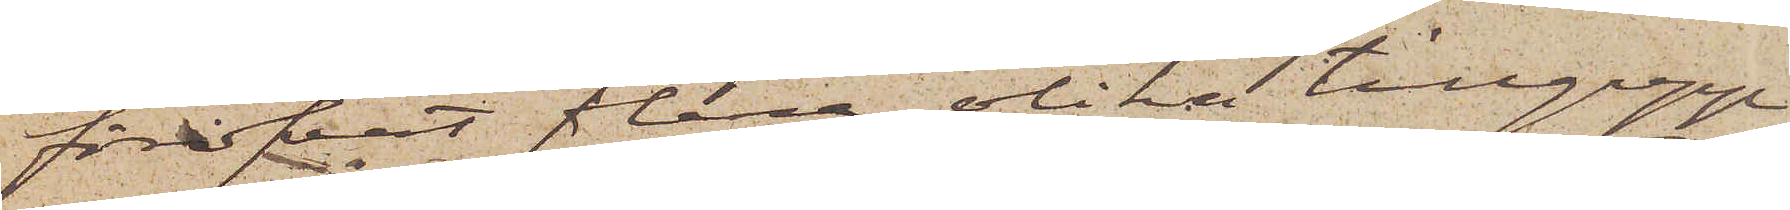föröfvat flera olika tillgrepp
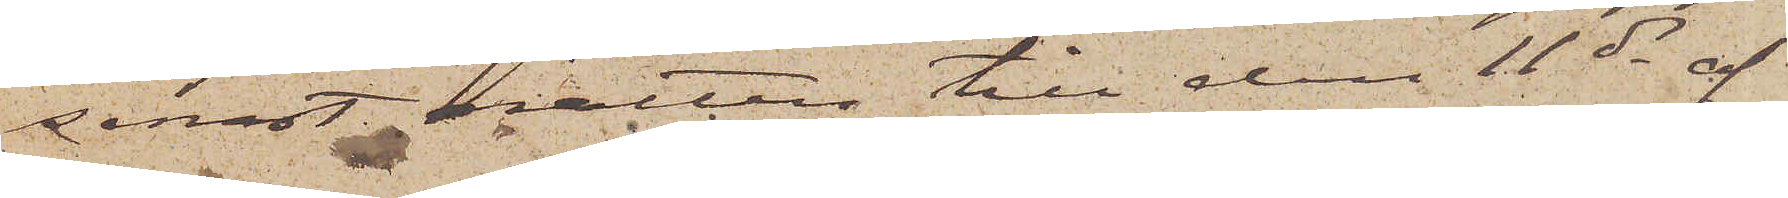senast natten till den 11 ds af
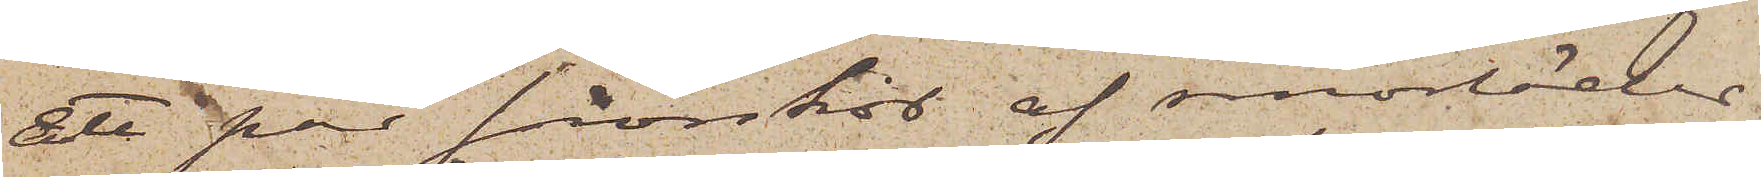Ett par snörskor af smorläder
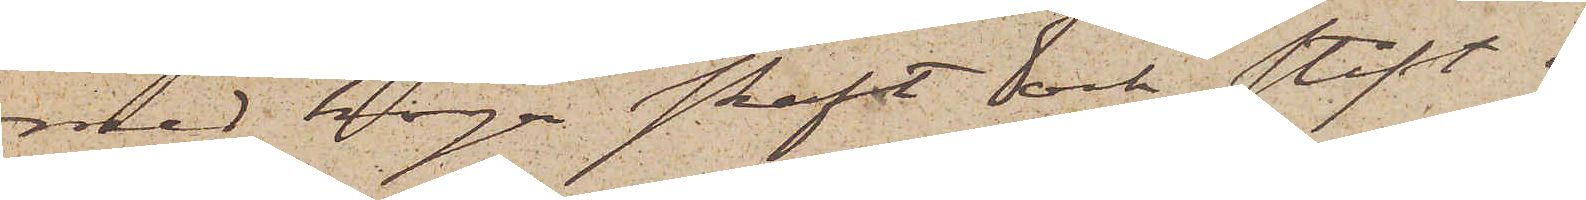med höga skaft och stift i
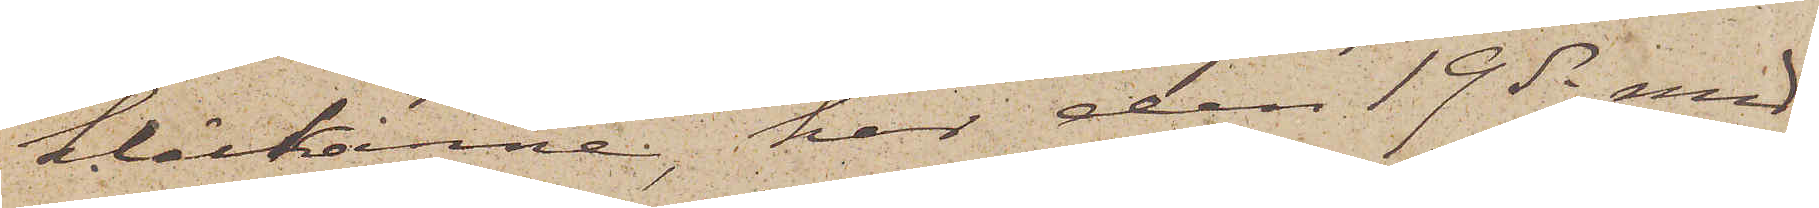klackarne, har den 19 ds med
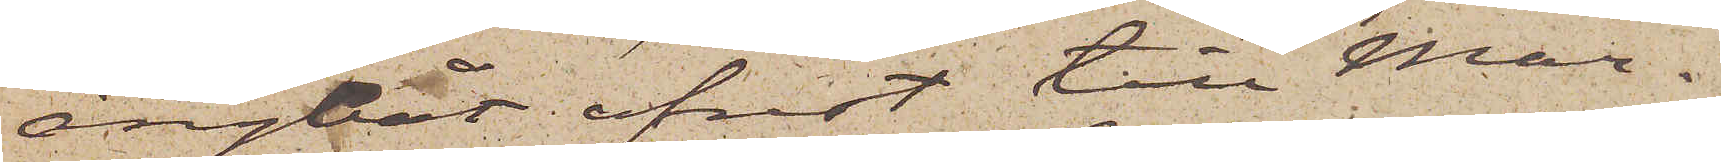ångbåt afrest till Mar¬
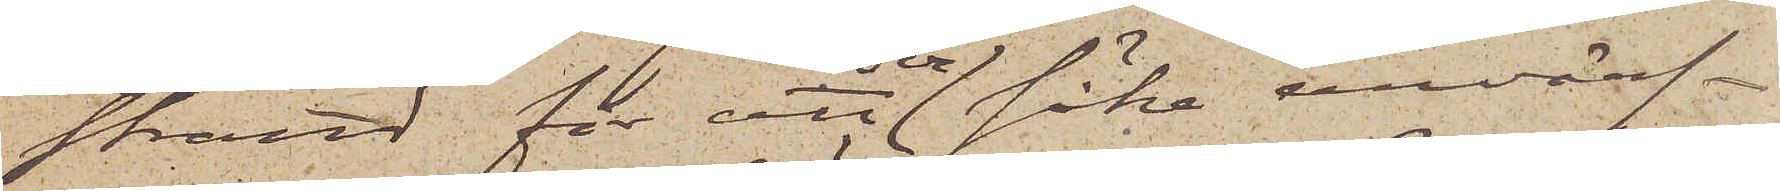strand för att der söka anvärf¬
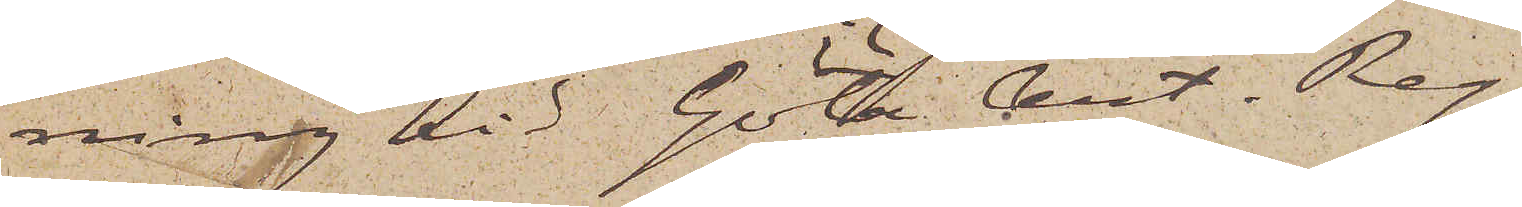ning vid Göta Art. Reg.
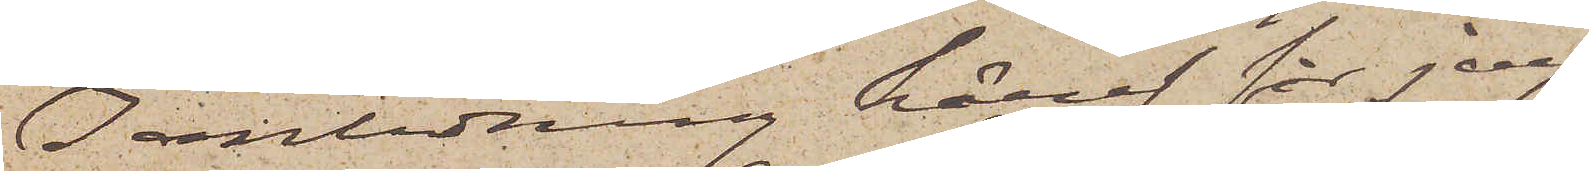I anledning häraf får jag
